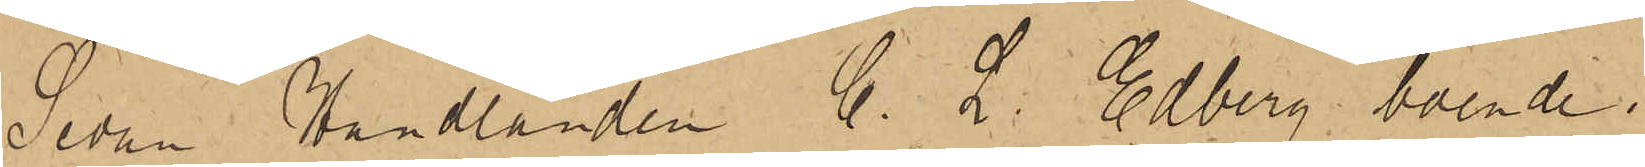Sedan Handlanden C. L. Edberg, boende i
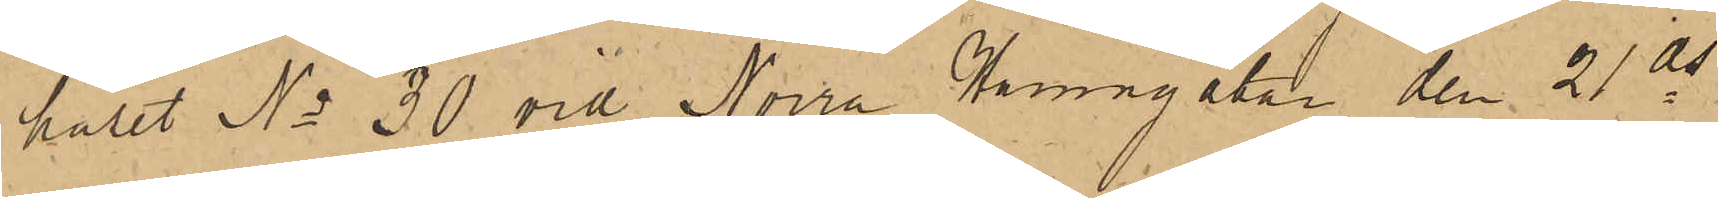huset No 30 vid Norra Hamngatan den 21 ds
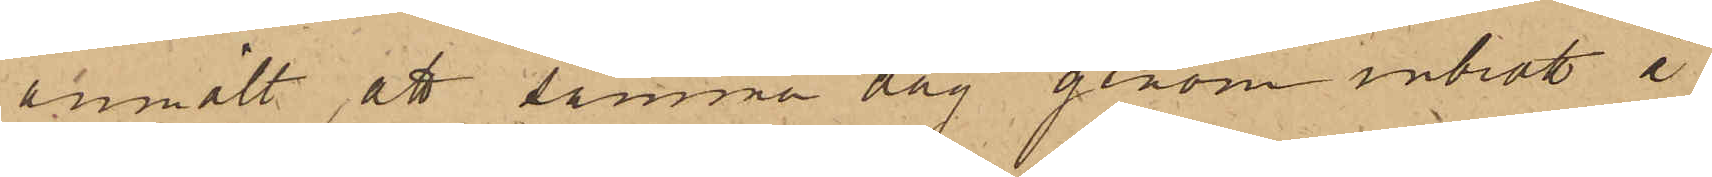anmält, att samma dag genom inbrott å
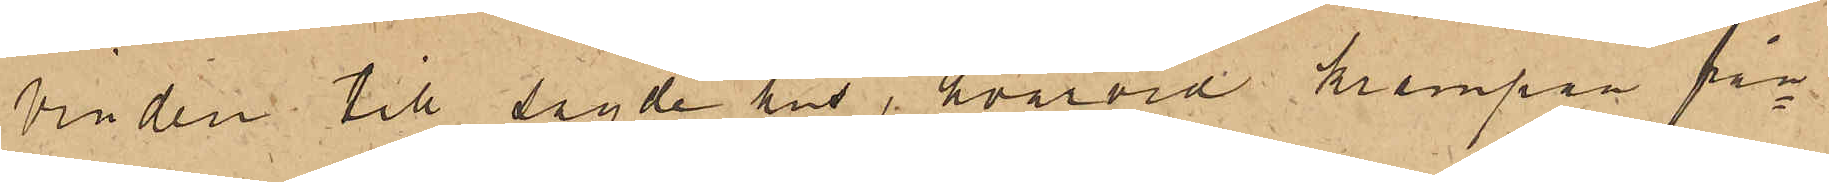vinden till sagde hus, hvarvid krampan från¬
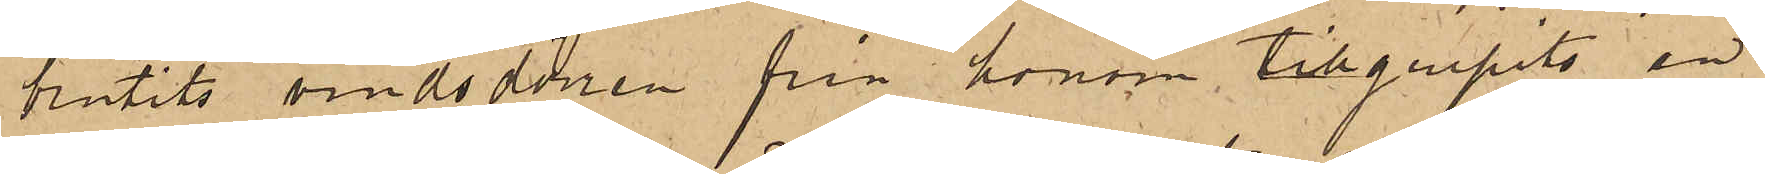brutits vindsdörren från honom tillgripits en
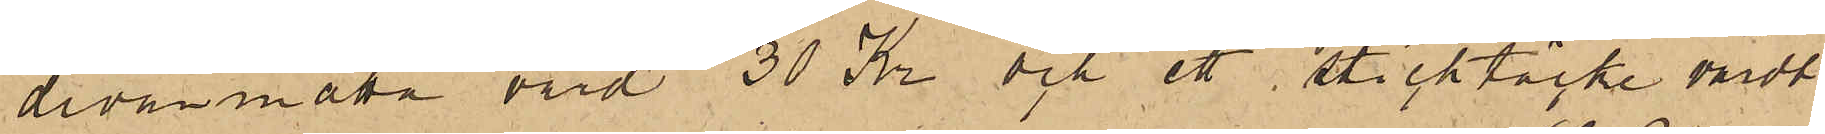divanmatta värd 30 Kr och ett sticktäcke värdt
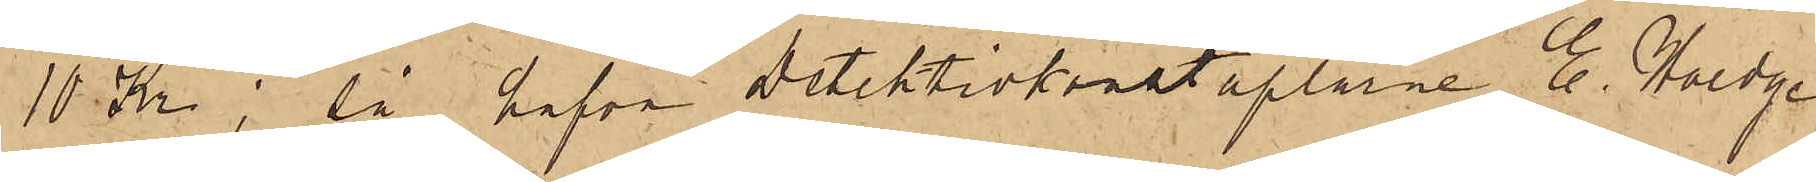10 Kr;  så hafva Detektivkonstaplarne E. Hoedge
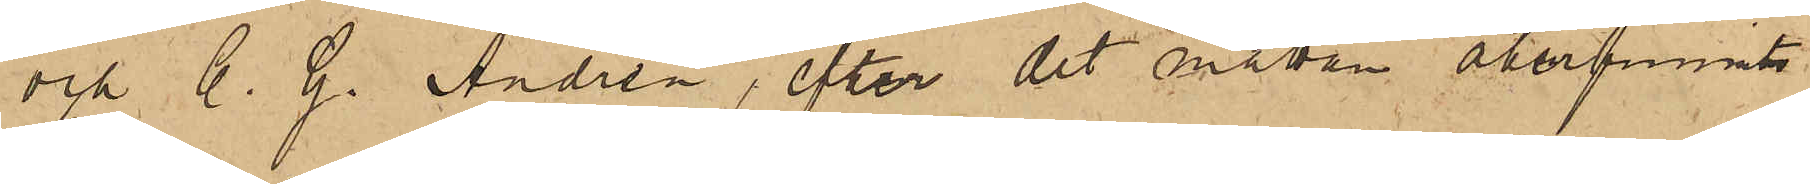och C. G. Andrén, efter det mattan återfunnits
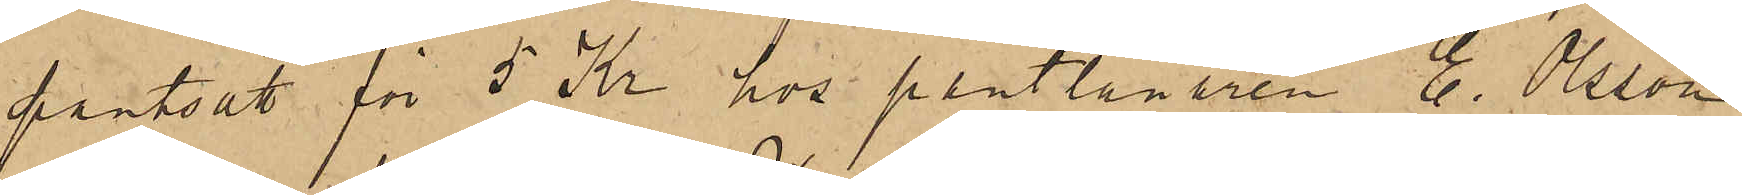pantsatt för 5 Kr hos pantlånaren E. Olsson
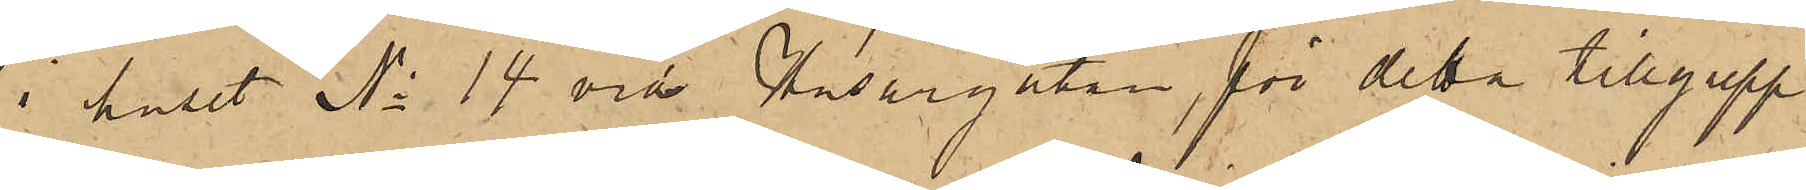i huset No 14 vid Husargatan, för detta tillgrepp
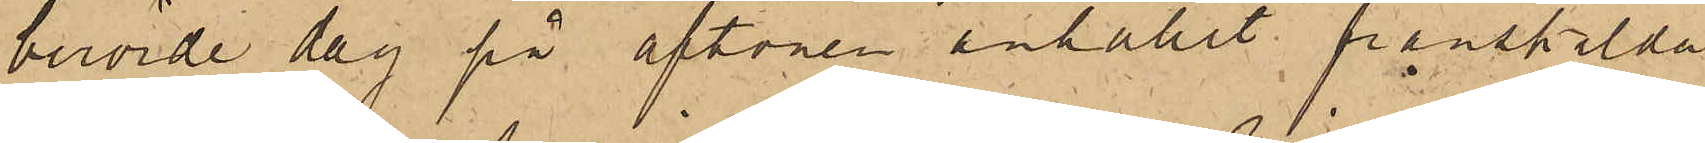berörde dag på aftonen anhållit frånskilda
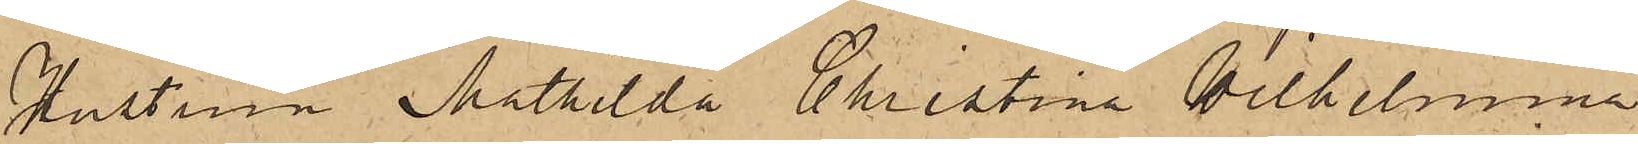Hustrun Mathilda Christina Wilhelmina
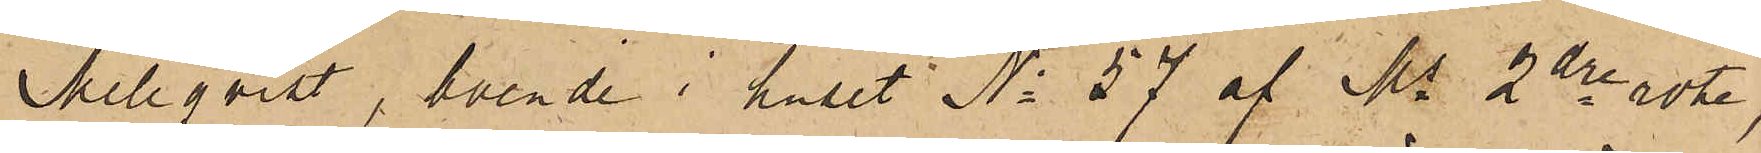Mellqvist, boende i huset No 57 af Ms 2dre rote,
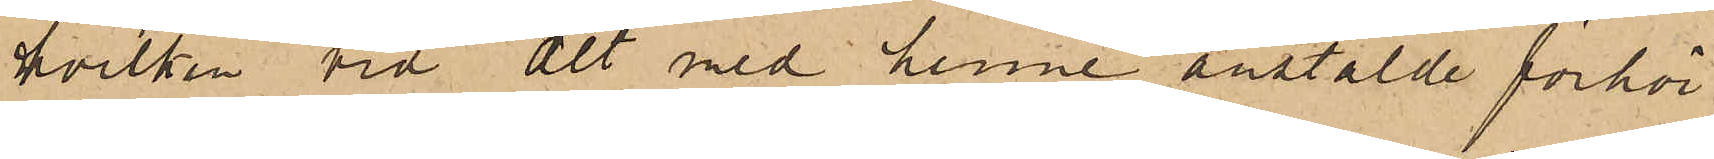hvilken vid det med henne anstälde förhör
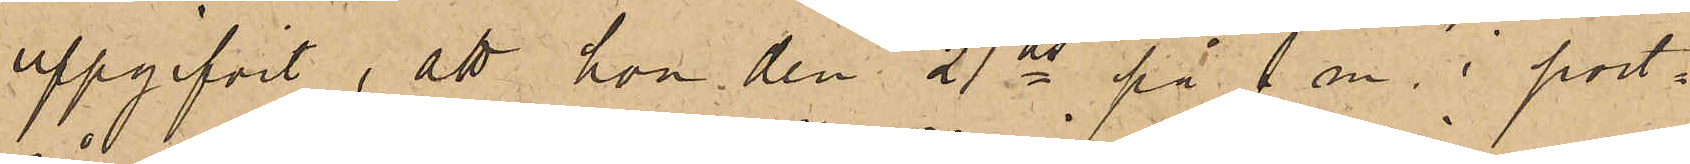uppgifvit, att hon den 21 ds på f m. i port¬
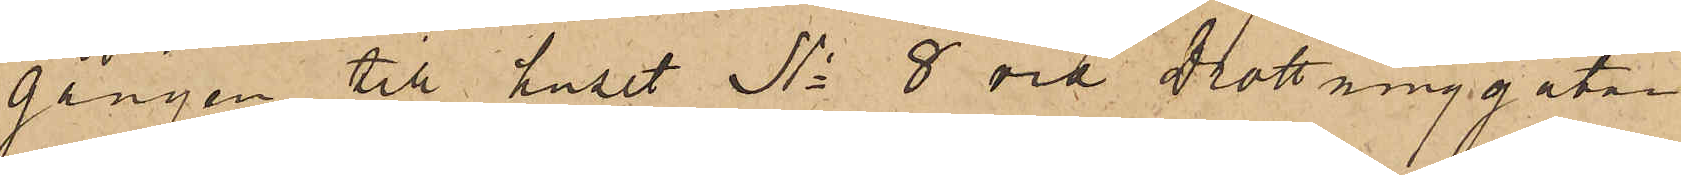gången till huset No 8 vid Drottninggatan
